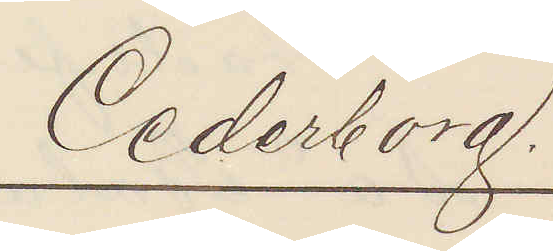Cederborg.
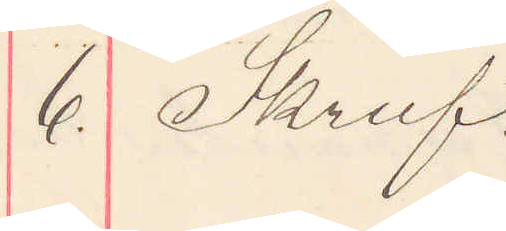6. Skruf.
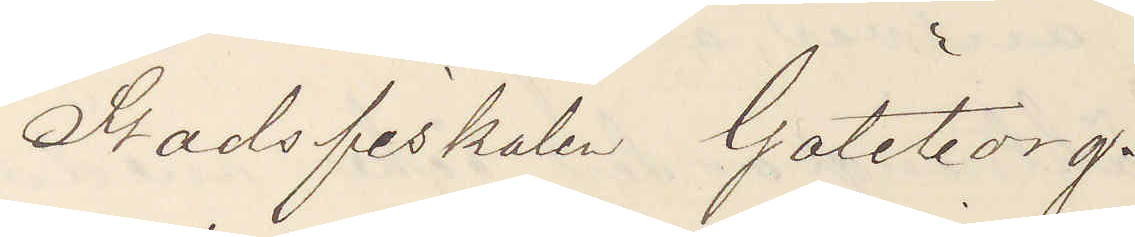Stadsfiskalen Göteborg.
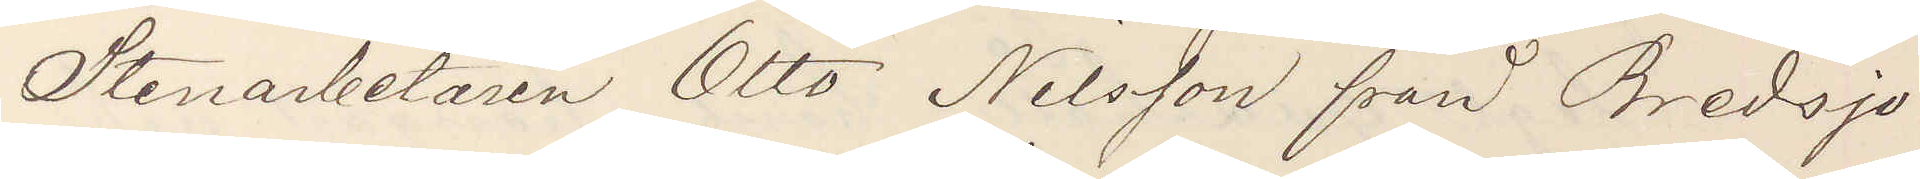Stenarbetaren Otto Nilsson från Bredsjö
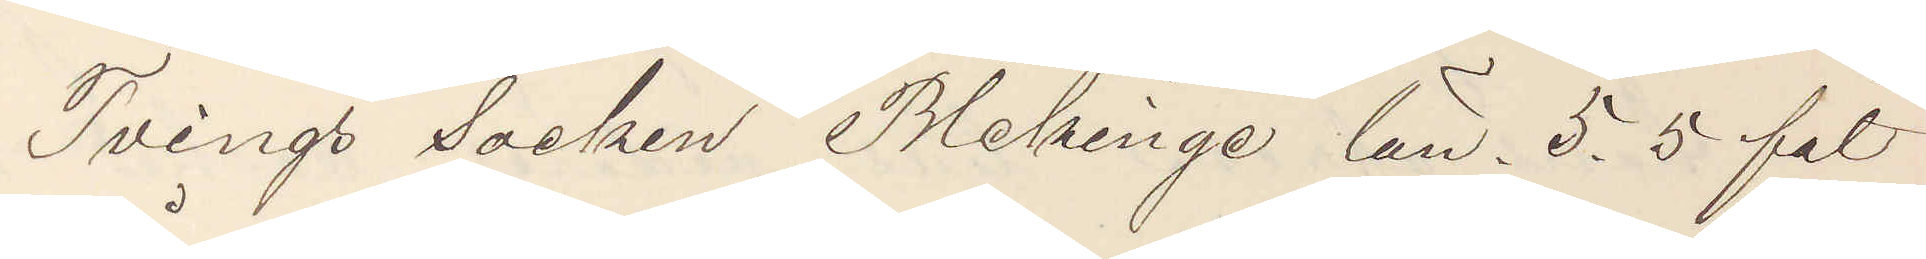Tvings Socken Blekinge län, 5,5 fot
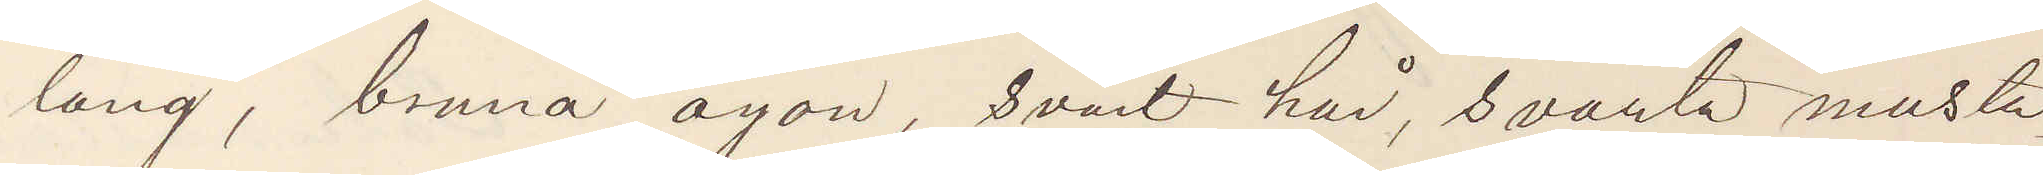lång, bruna ögon, svart hår, svarta musta¬
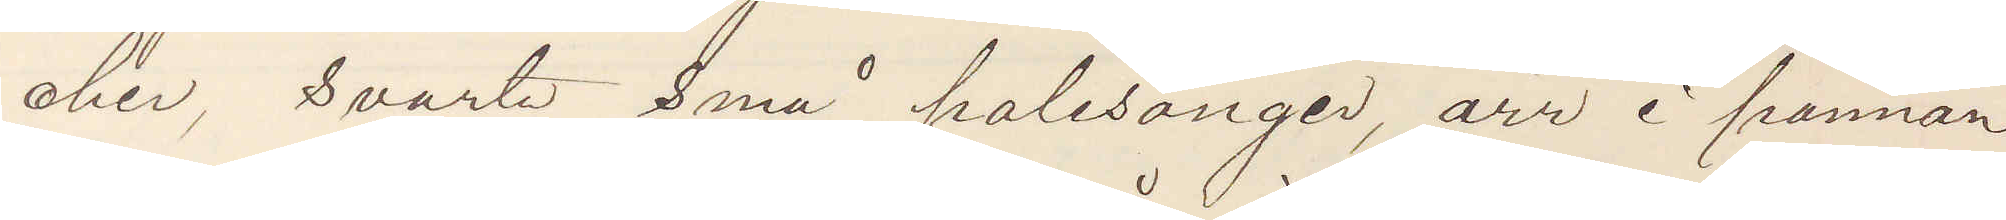cher, svarta små polisonger, ärr i pannan
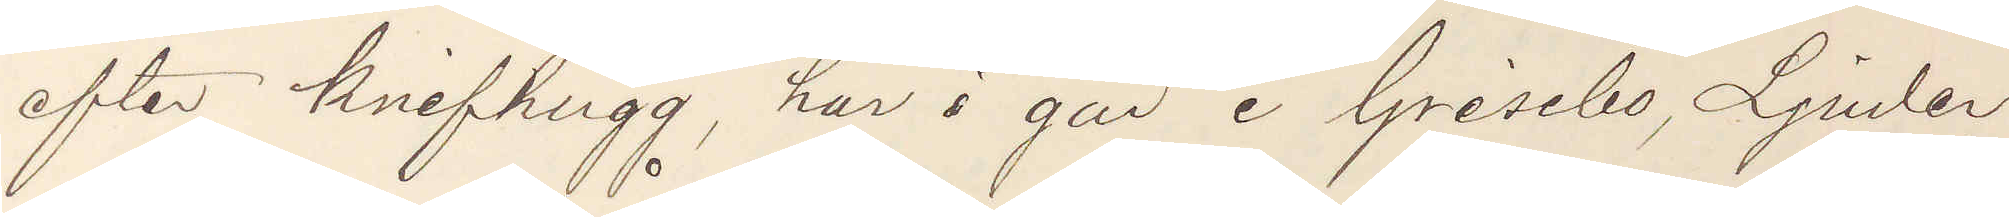efter knifhugg, har i går i Grisebo, Ljuder
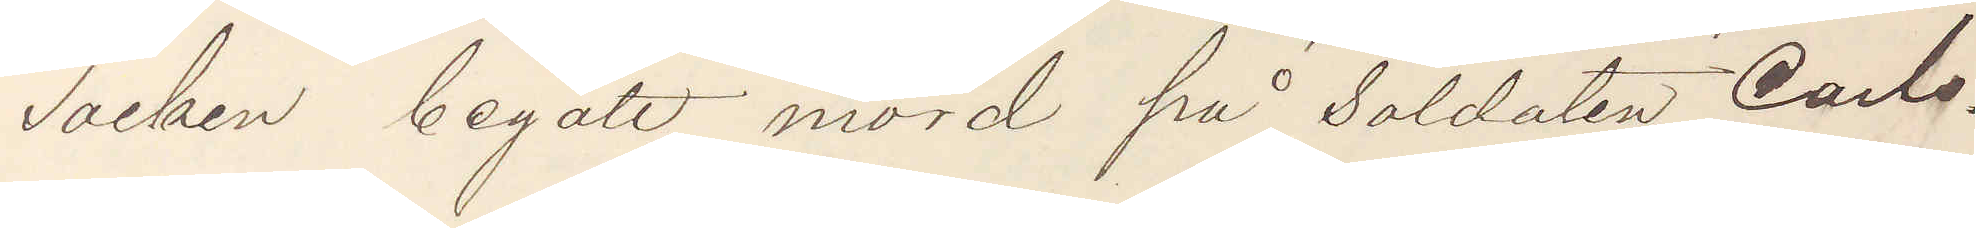Socken begått mord på Soldaten Carls¬
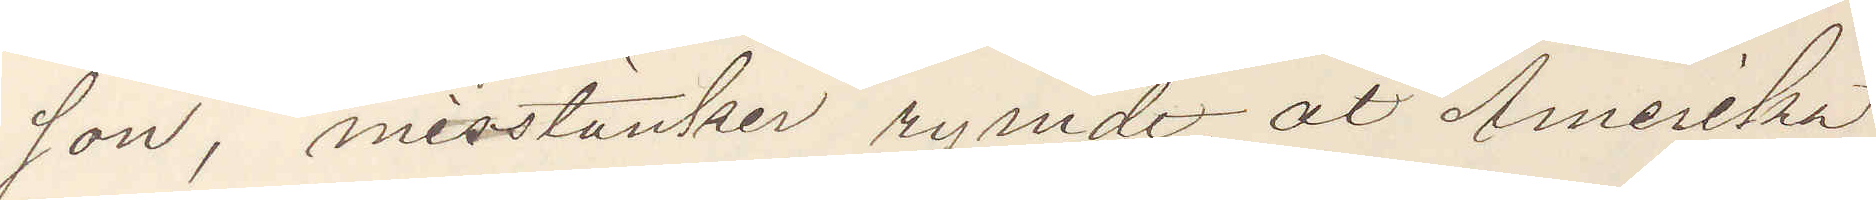son, misstänker rymdt åt Amerika,
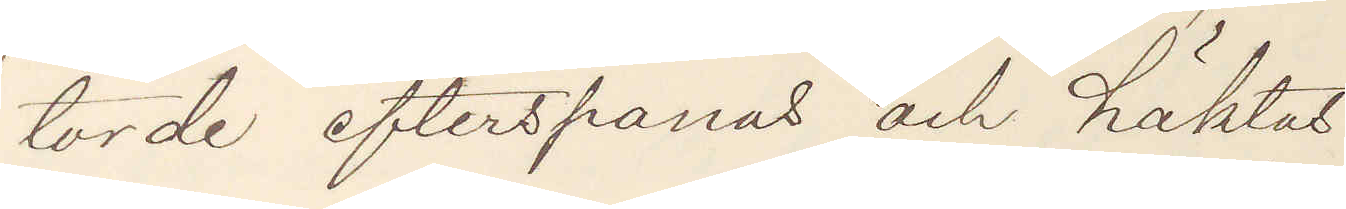torde efterspanas och häktas
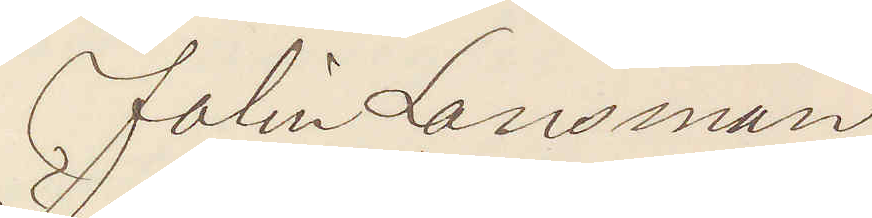Folin Länsman
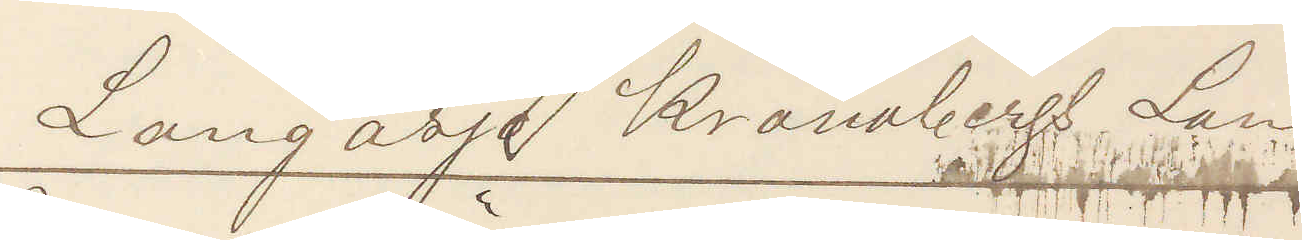Långasjö Kronobergs län
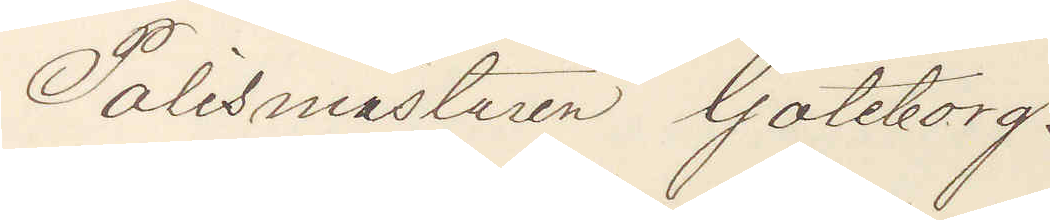Polismästaren Göteborg.
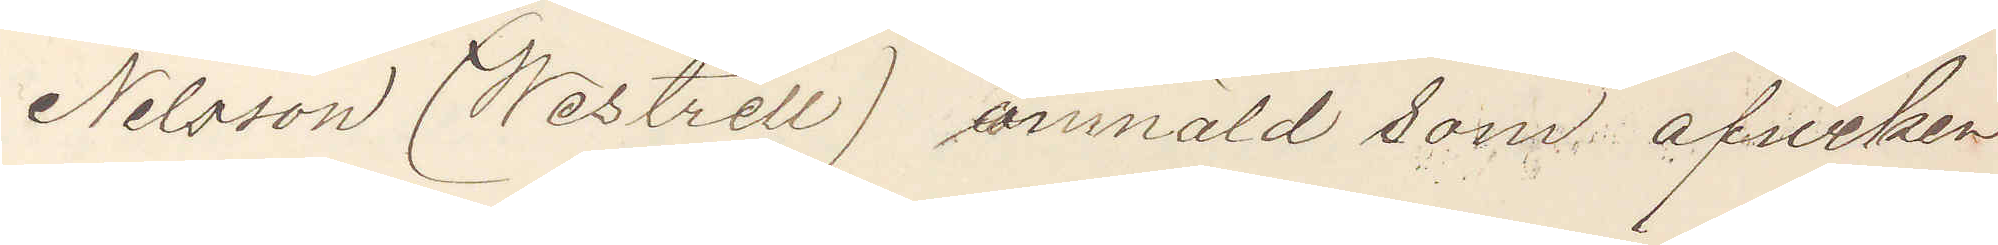Nilsson (Westrell) anmäld som afviken
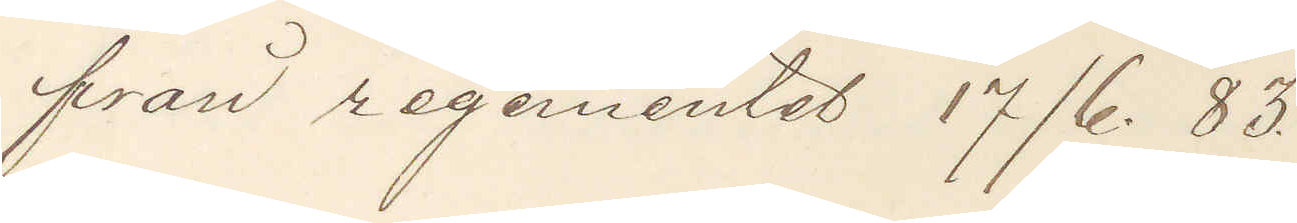fran regementet 17/6. 83.
